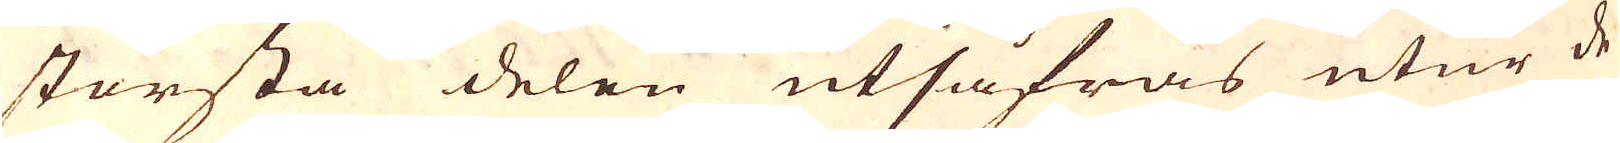största delen utsåfras utur de
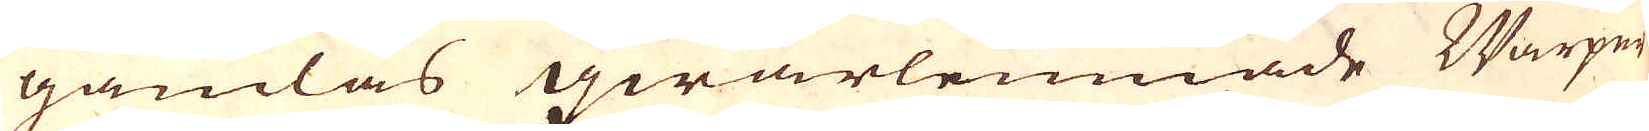gamlas qwarlemnade Warpor
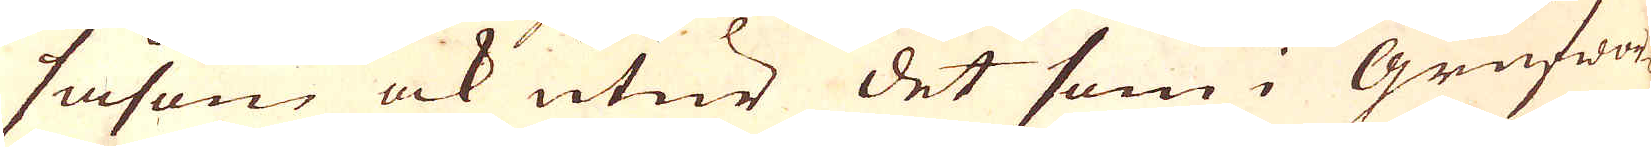såsom ock utur det som i Grufwor-
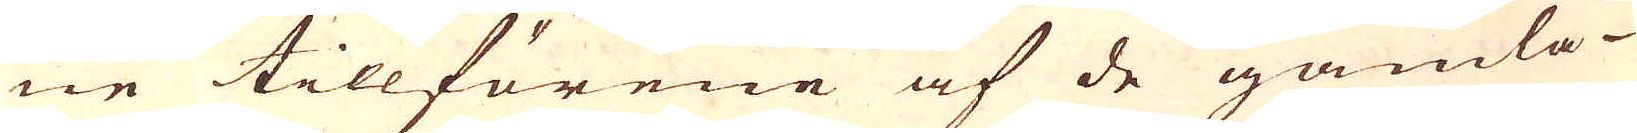ne tillförene af de gamla
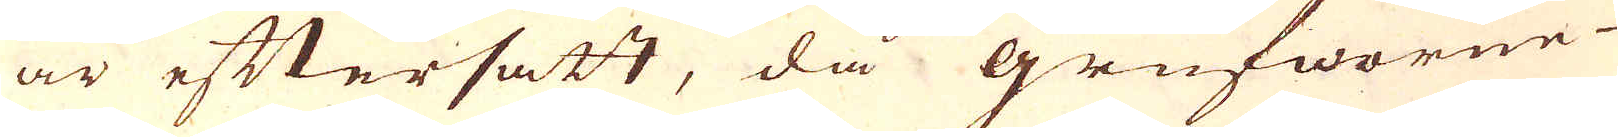är eftersatt, då grufworne
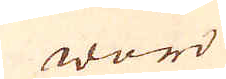woro
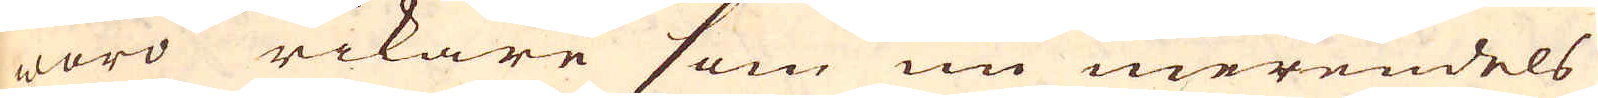woro rikare som nu merendels
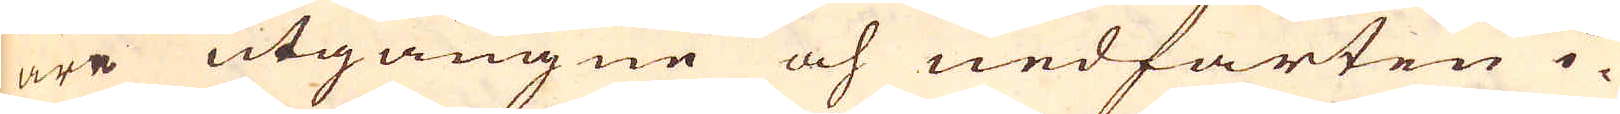äre utgångne och nedfarten i-
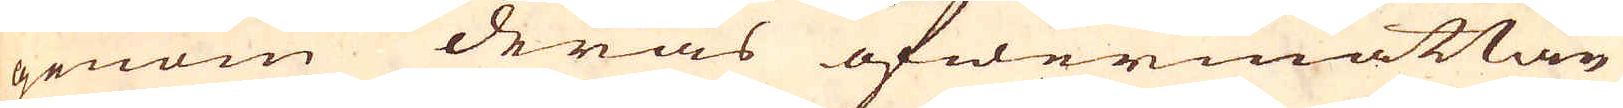genom deras öfwermåttan
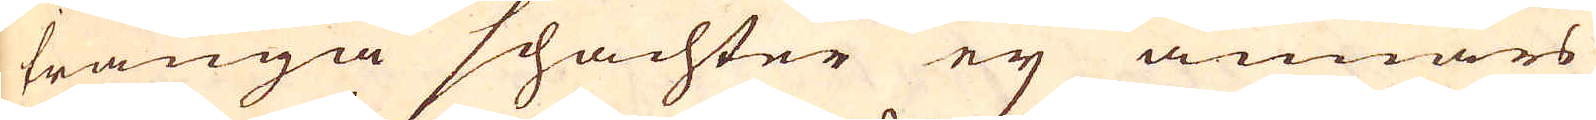trånga schachter ey annars
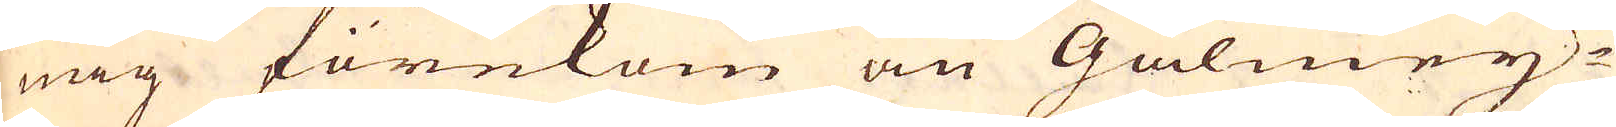mig förekom än Galmey-
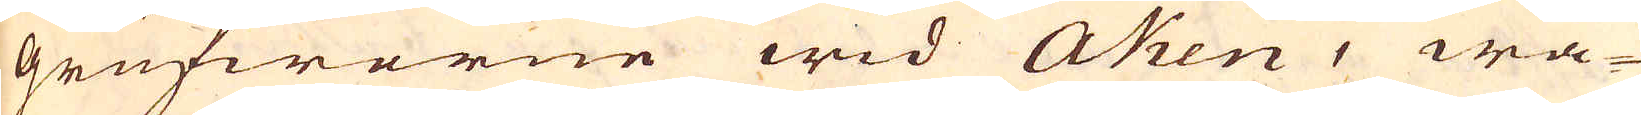Grufworne wid Aken, wa-
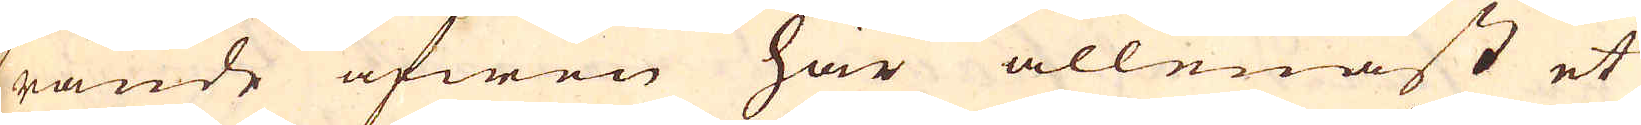rande äfwen här allenast et
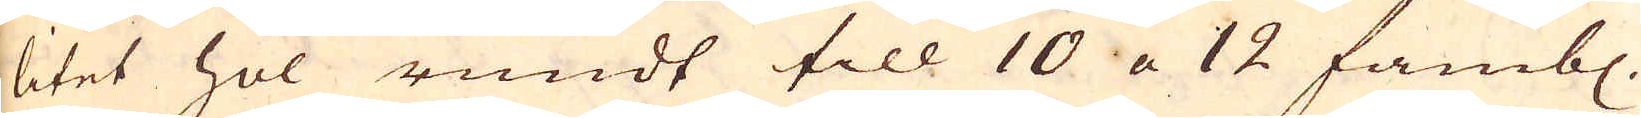litet hol rundt till 10 a 12 famb.
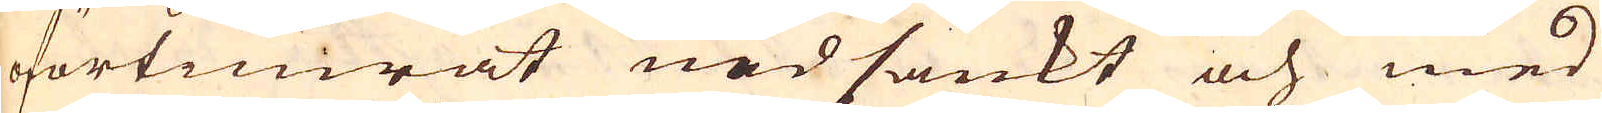oförtimrat nedsänkt och med
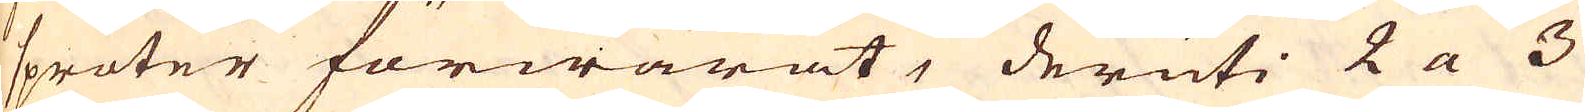spröter förwarat, deruti 2 a 3
